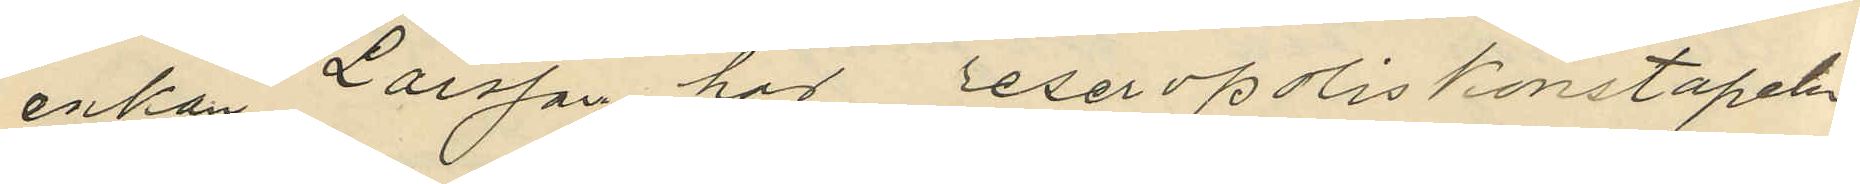enkan Larsson har reservpoliskonstapeln
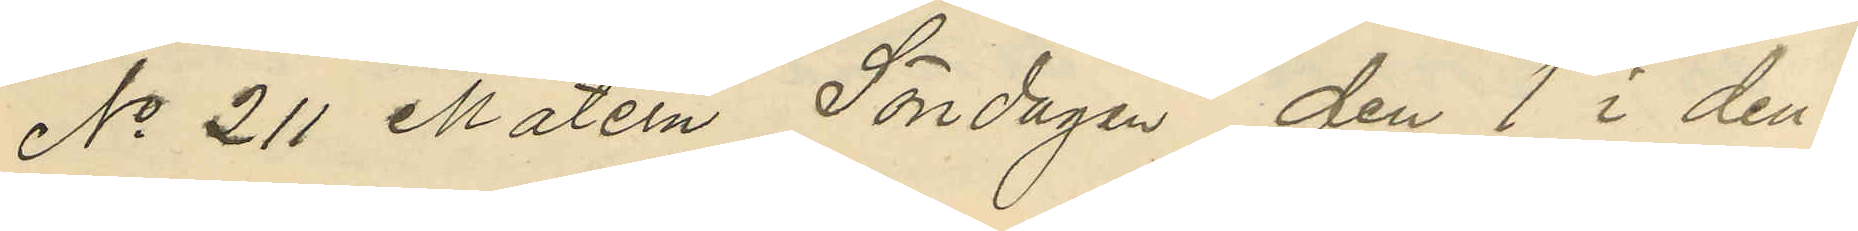No 211 Matern Söndagen den 1 i den¬
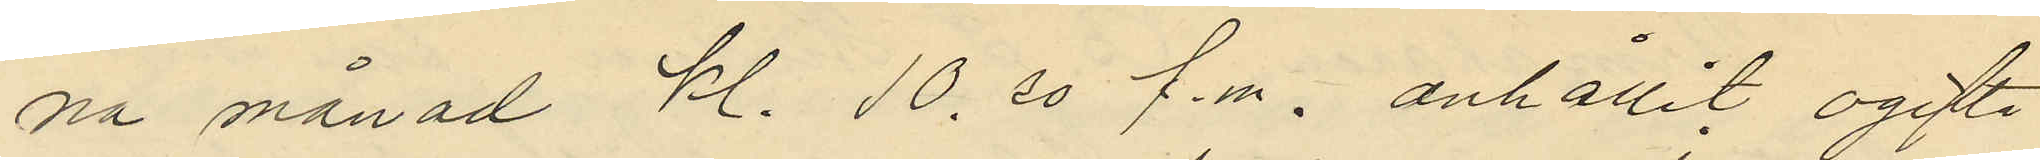na månad kl. 10.30 f.m. anhållit ogifta
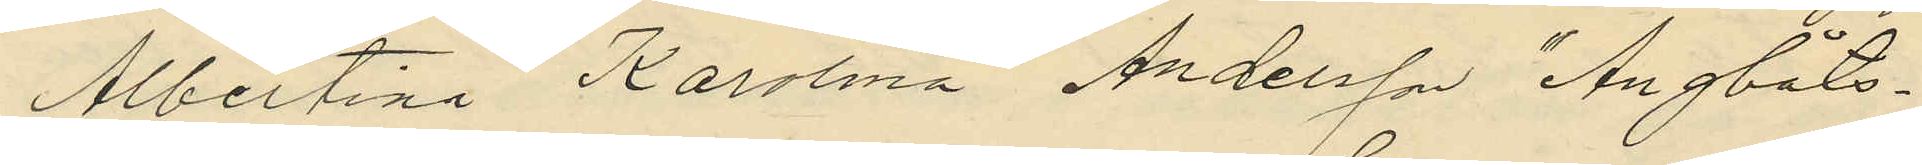Albertina Karolina Andersson "Ångbåts-
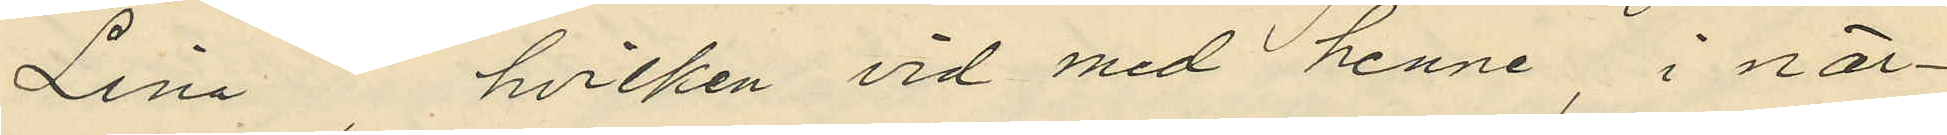Lina", hvilken vid med henne, i när¬
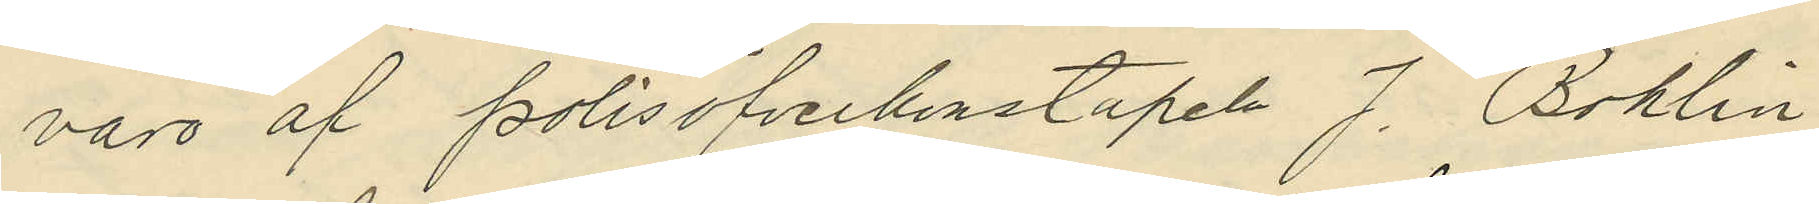varo af polisöfverkonstapeln J. Bohlin
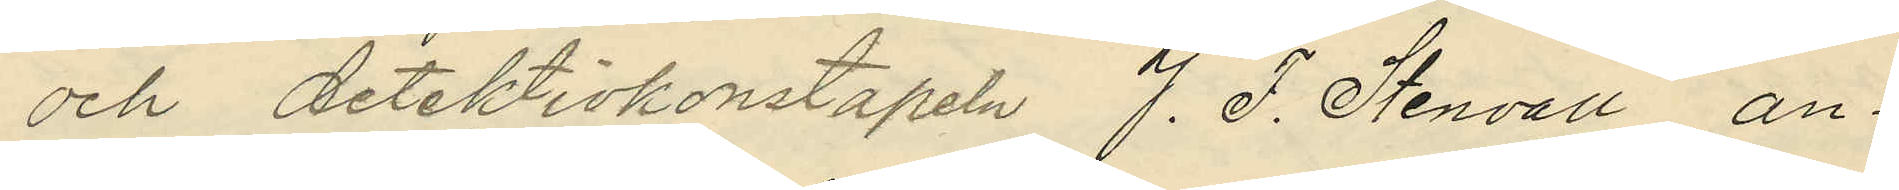och detektivkonstapeln J. F. Stenvall, an¬
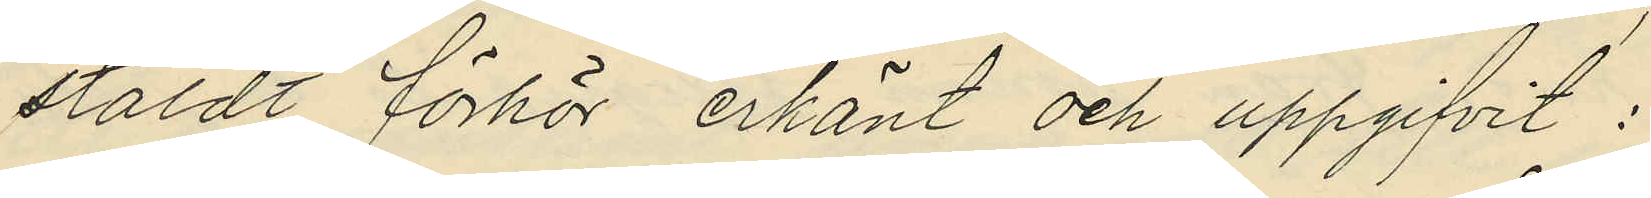stäldt förhör erkänt och uppgifvit:
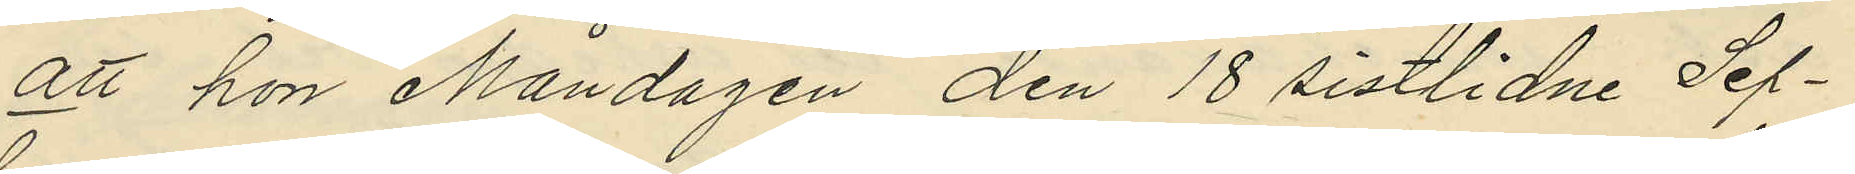att hon Måndagen den 18 sistlidne Sep¬
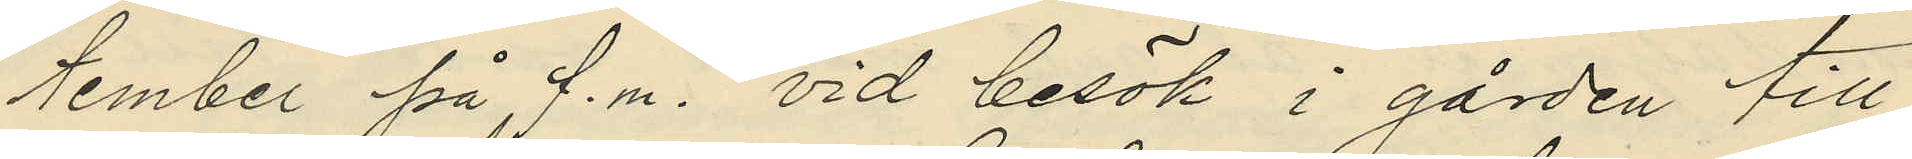tember på f.m. vid besök i gården till
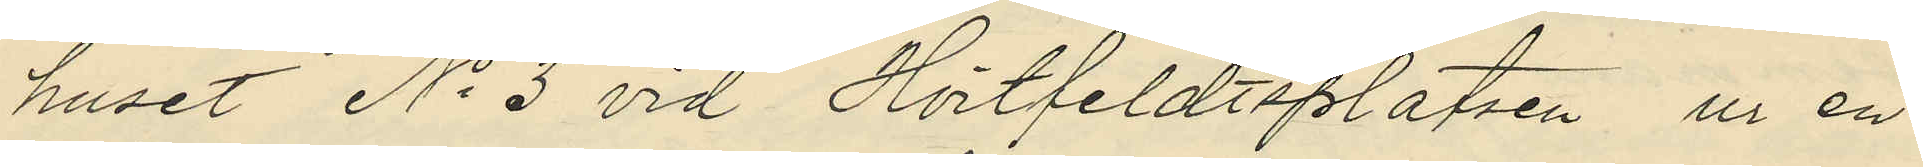huset No 3 vid Hvitfeldtsplatsen ur en
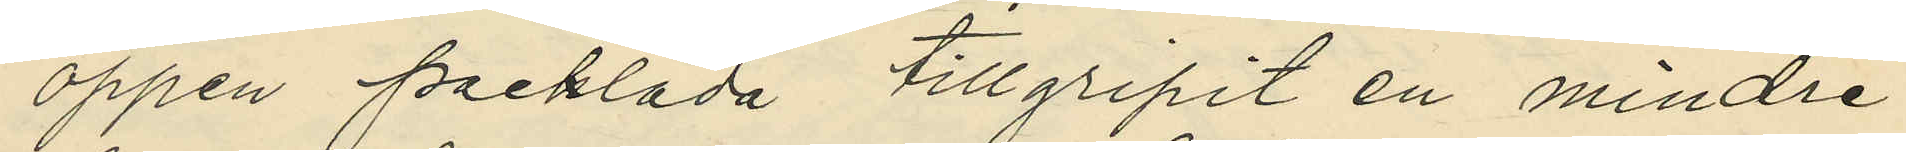öppen packlåda tillgripit en mindre
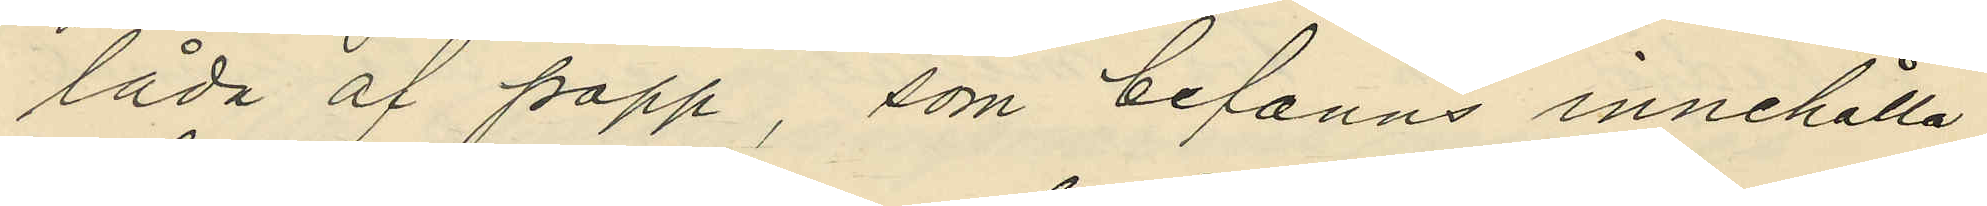låda af papp, som befanns innehålla
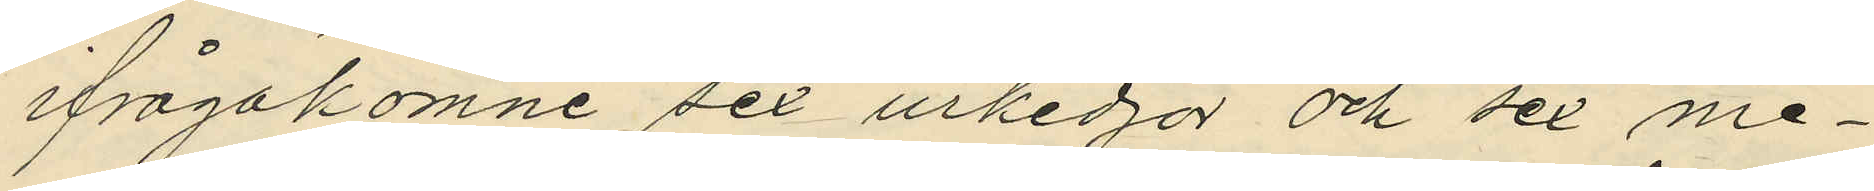ifrågakomne sex urkedjor och sex me¬
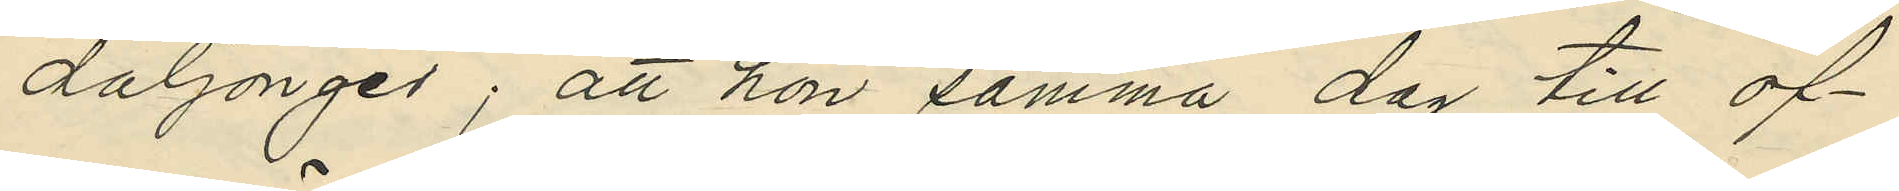daljonger; att hon samma dag till of¬
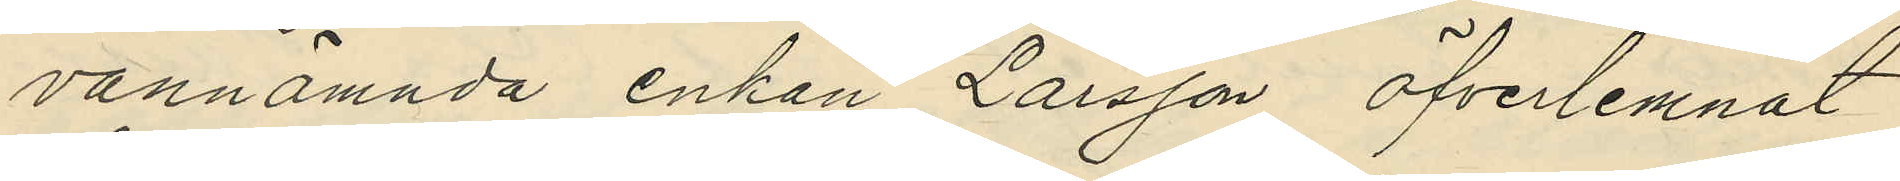vannämnda enkan Larsson öfverlemnat
